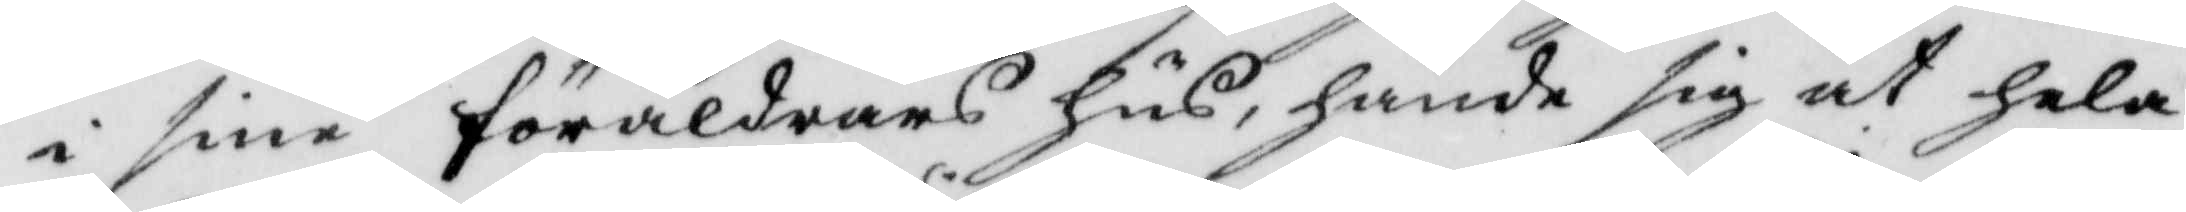i sine föräldrars hus, hände sig at hela
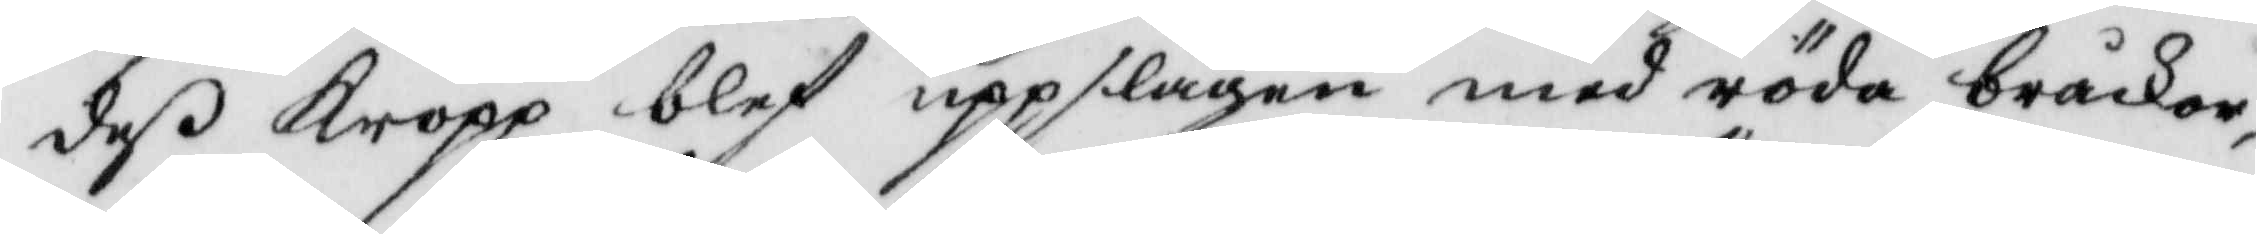deß kropp blef uppslagen med röda bråckor,
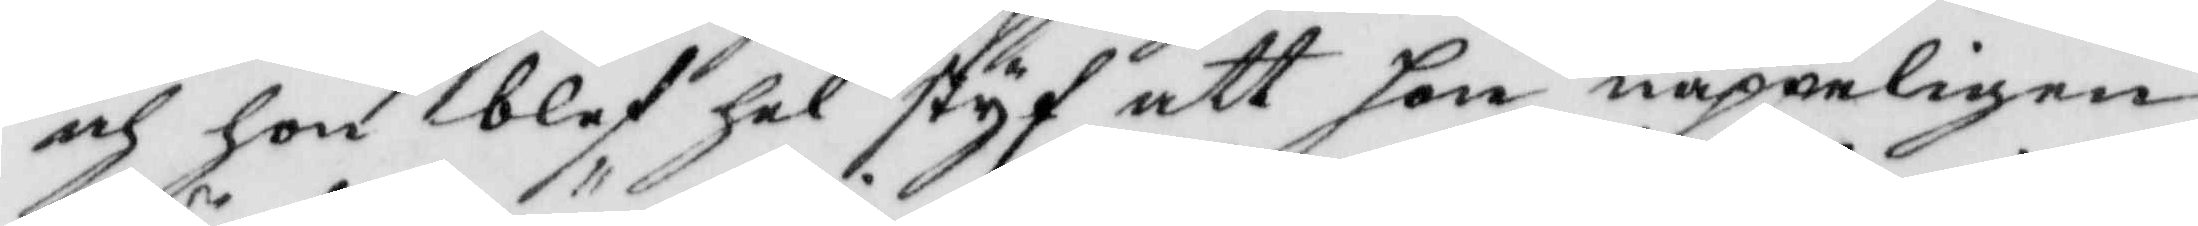och hon blef hel hel styf att hon näppeligen
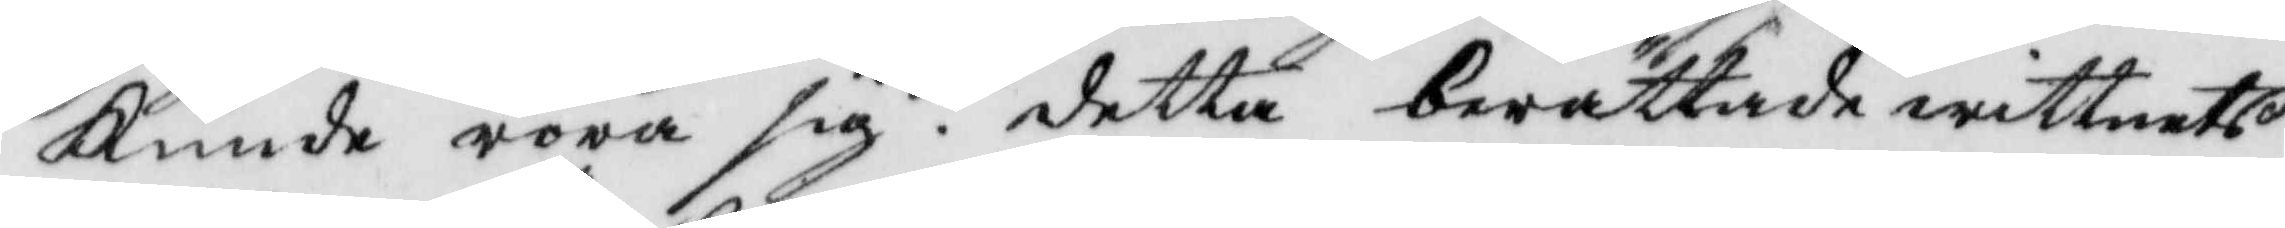kunde röra sig. detta berättade wittnets
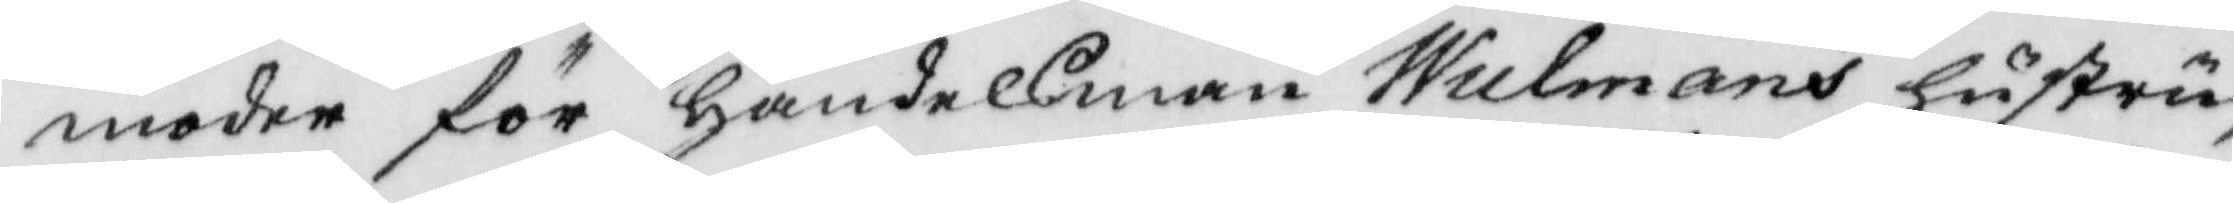moder för handelsman Wulmans hustru
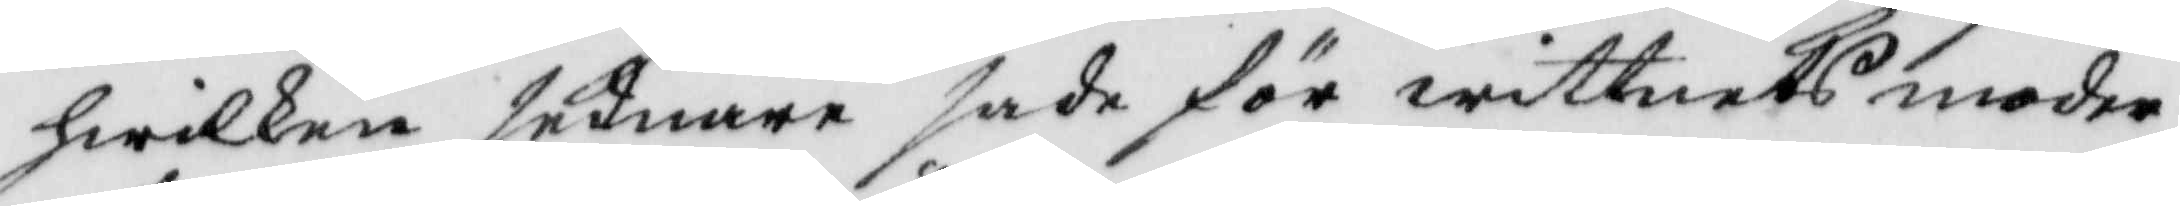hwilken sednare sade för wittnets moder
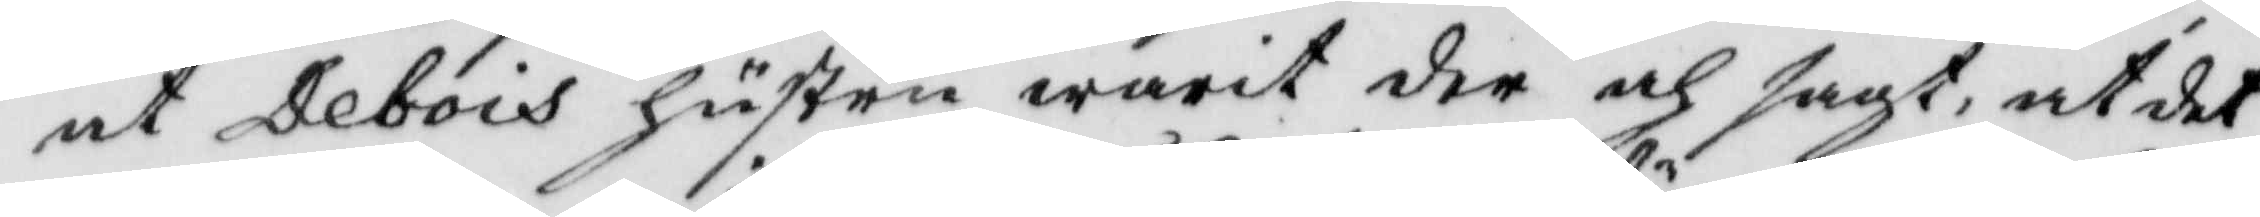at Debois hustru warit der och sagt, at det
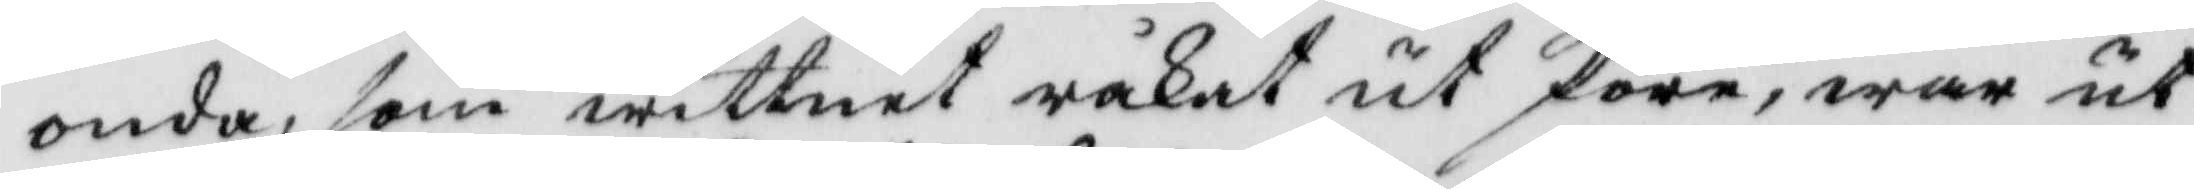onda, som wittnet råkat ut före, war ut¬
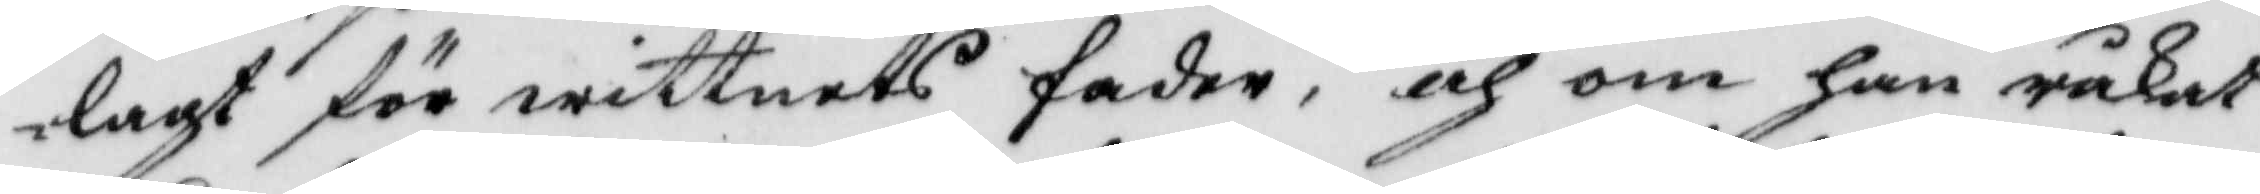lagt för wittnets fader, och om han råkat
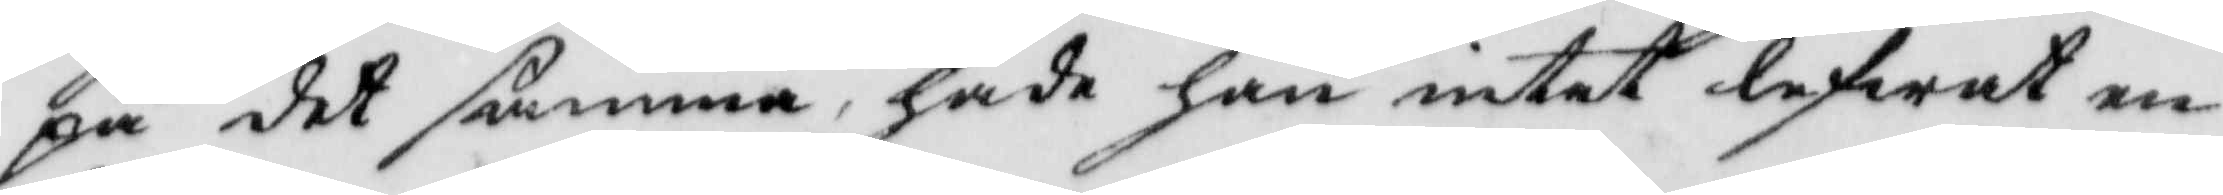på det samma, hade han intet lefwat en
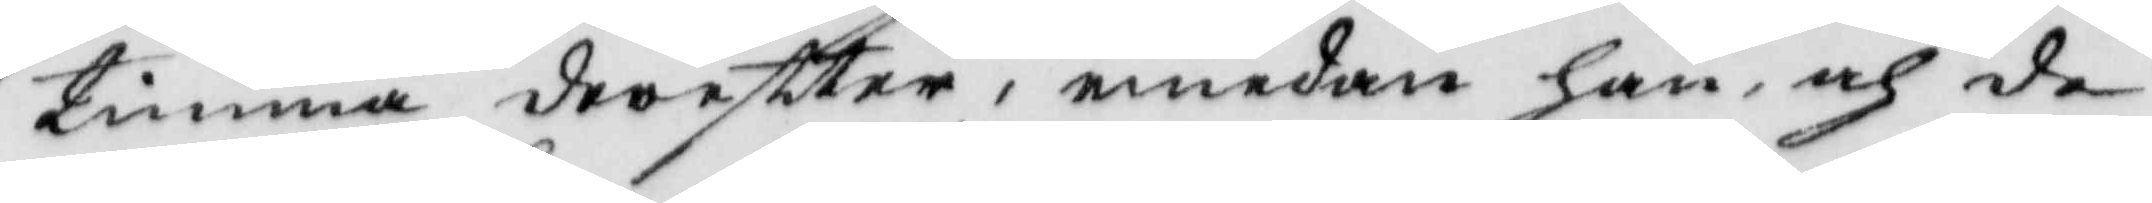timma dereftter, emedan han och de
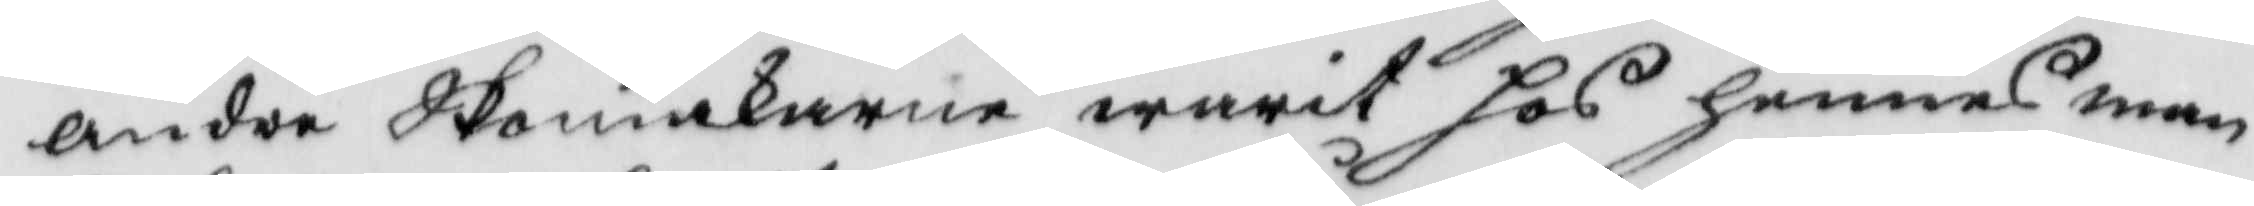anrda Skomakarne warit hos hennes man
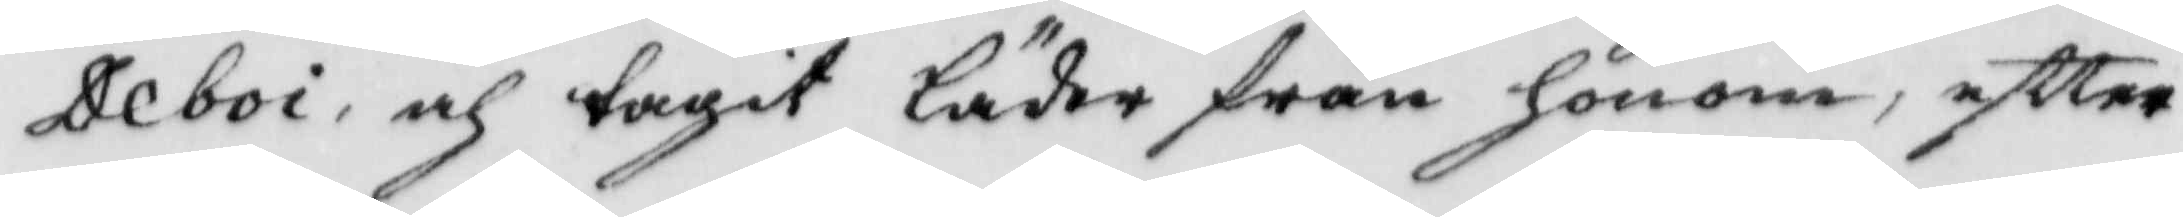Deboi, och tagit läder från honom, eftter
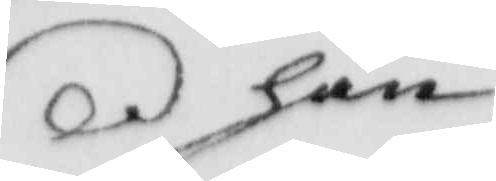han
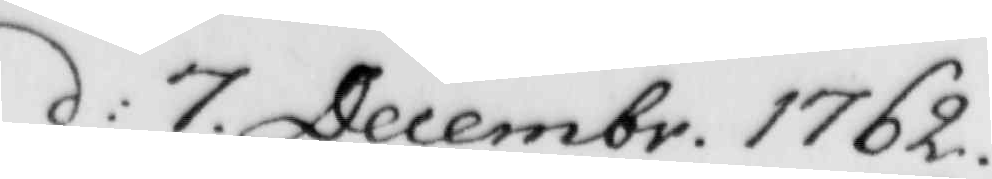d: 7 Decembr. 1762
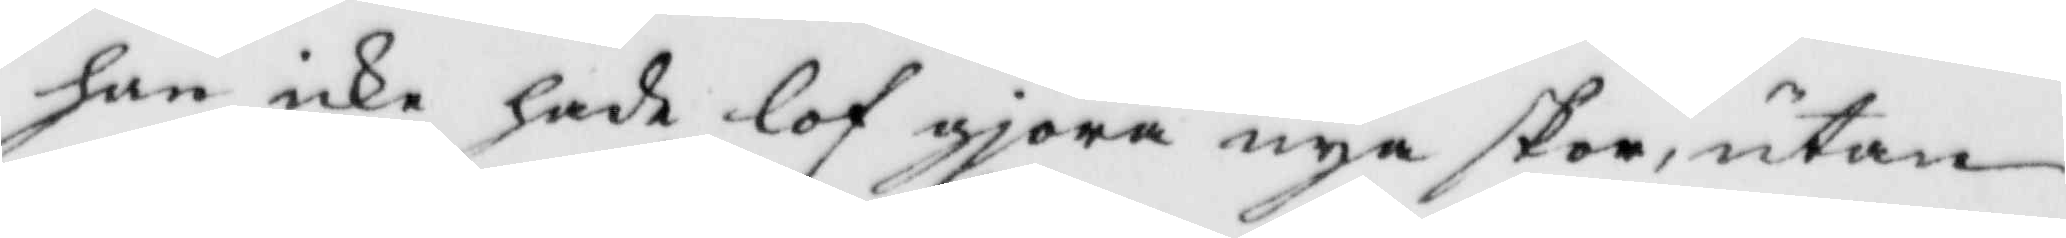han icke hade lof giöra nya skor, utan
